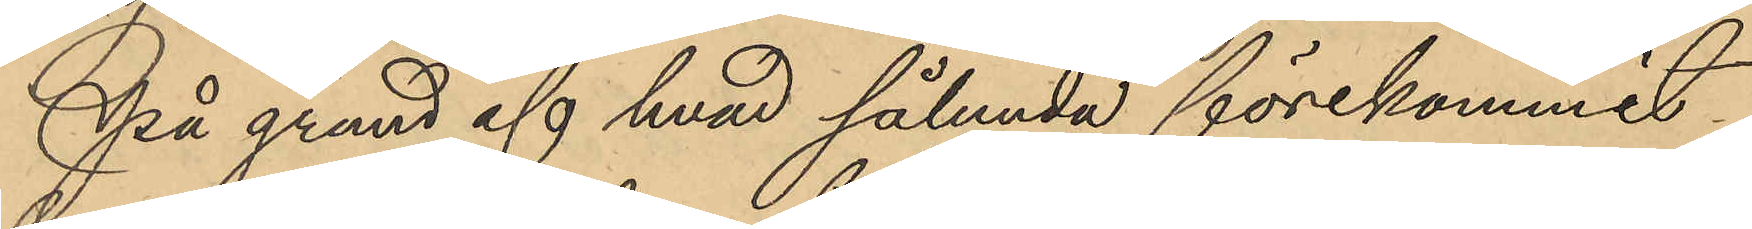På grund af hvad sålunda förekommit
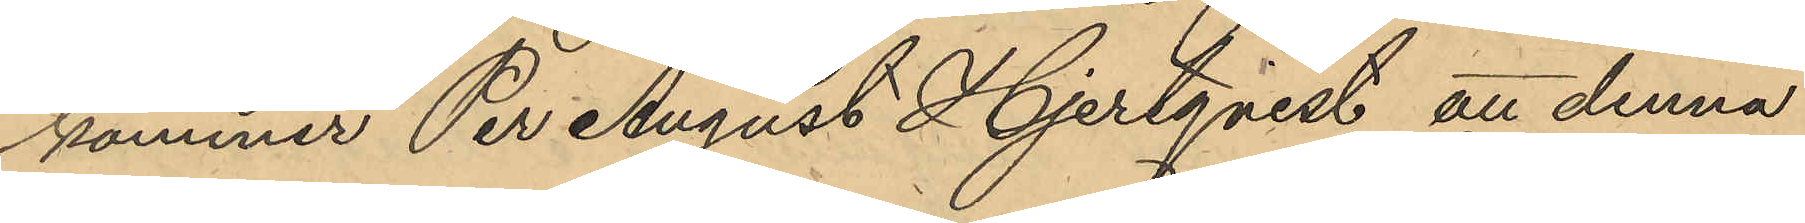kommer Per August Hjertqvist att denna
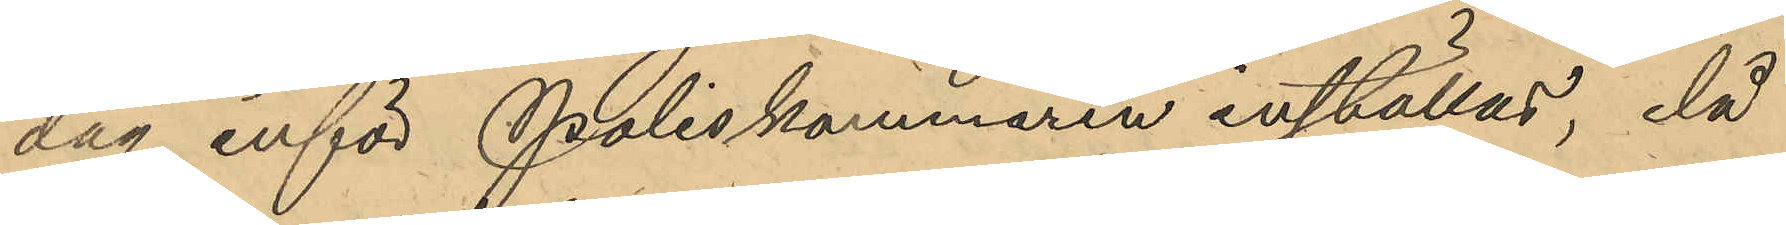dag inför Poliskammaren inställas, då
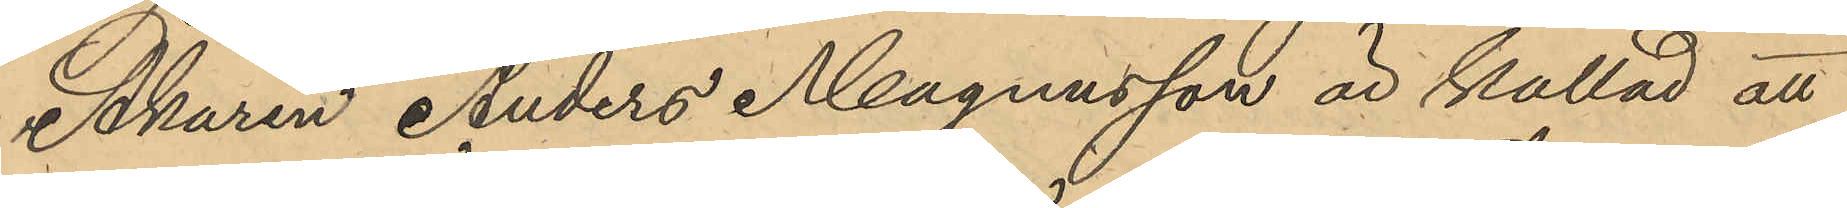Åkaren Anders Magnusson är kallad att
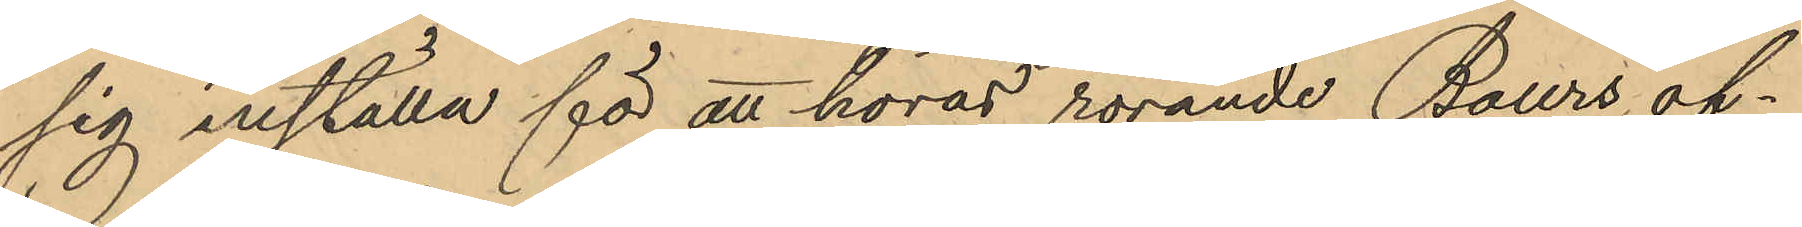sig inställa för att höras rörande Baurs of¬
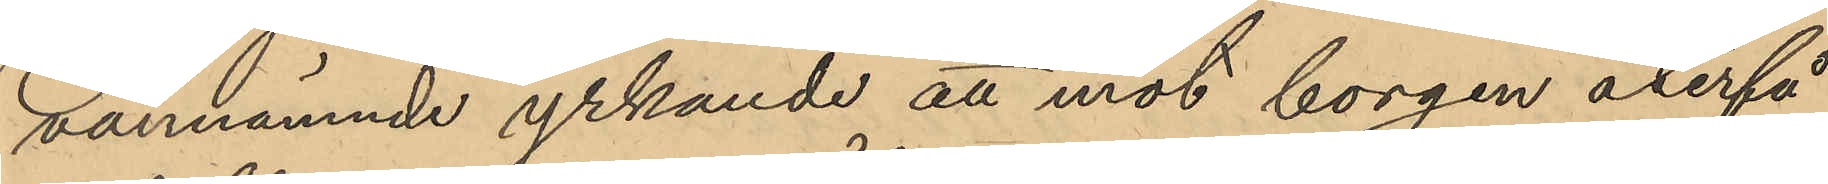vannämnde yrkande att mot borgen återfå
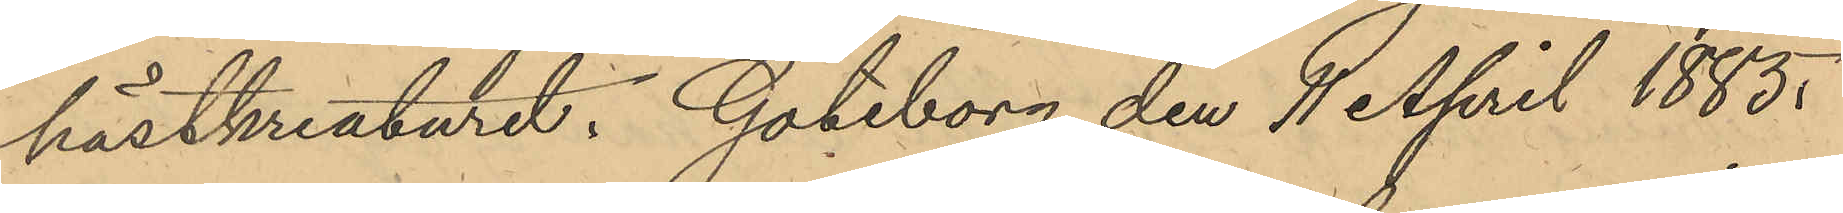hästkreaturet. Göteborg den 11 April 1885.
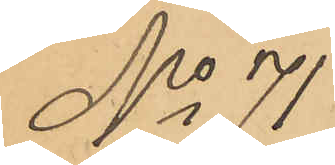No 71
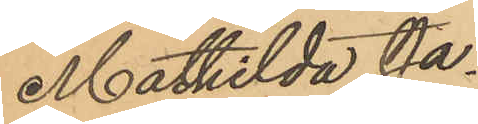Mathilda Ja¬
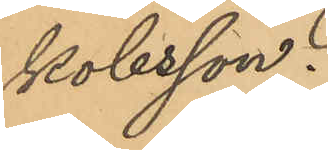kobsson.
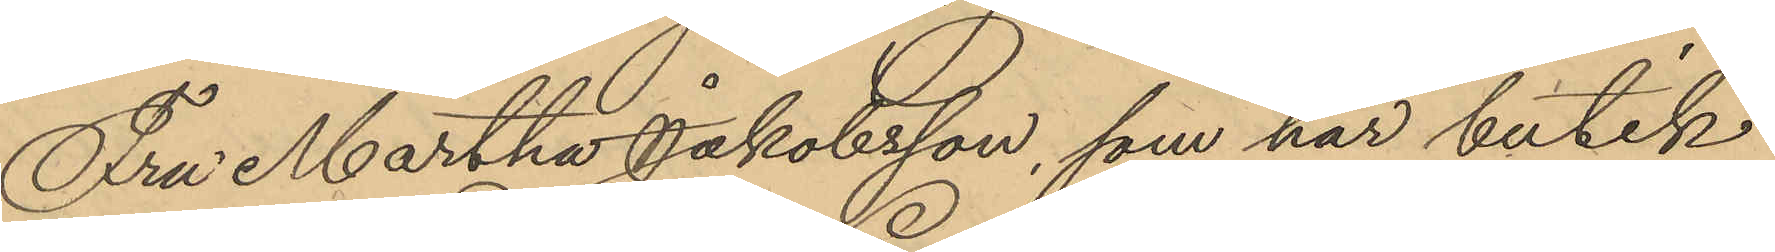Fru Martha Jakobsson, som har butik
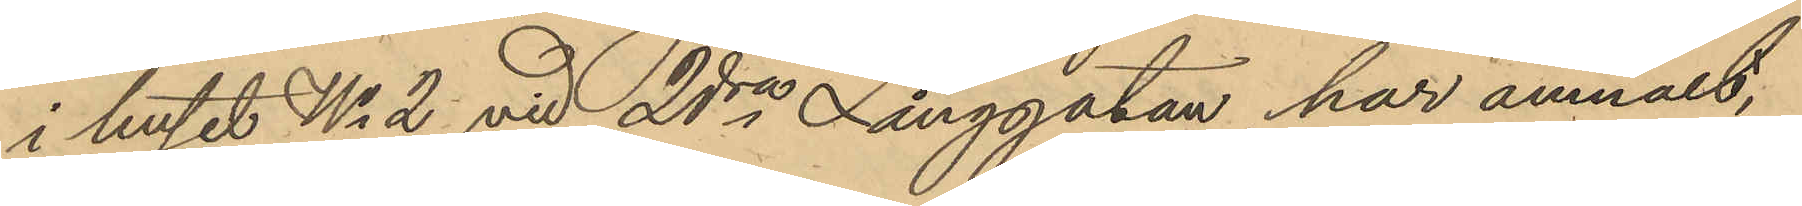i huset No 2 vid 2ra Långgatan har anmält,
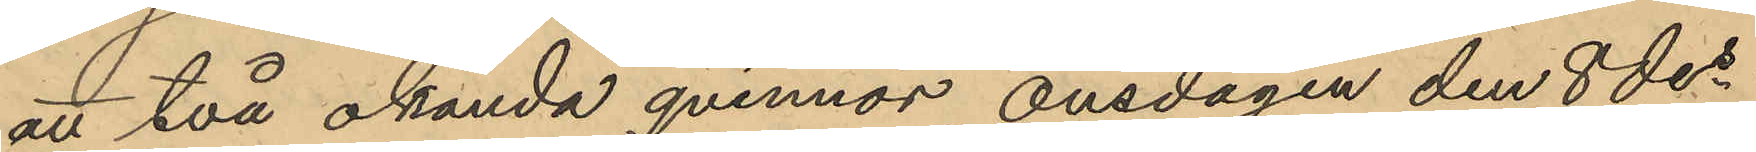att två okända qvinnor onsdagen den 8 des
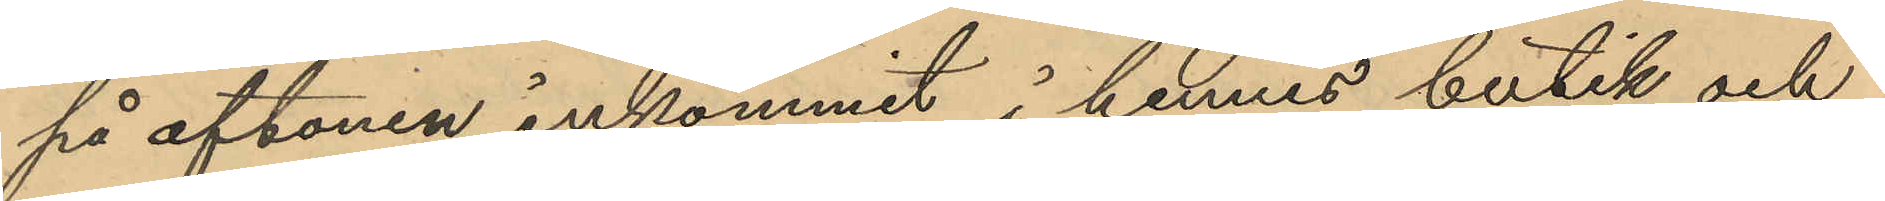på aftonen inkommit i hennes butik och
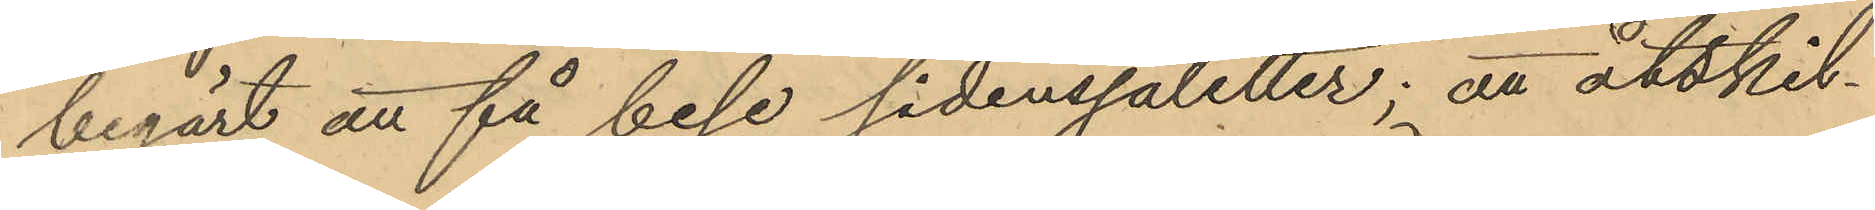begärt att få bese sidenssjaletter; att åtskil¬
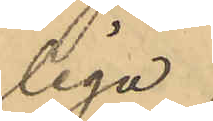liga.
